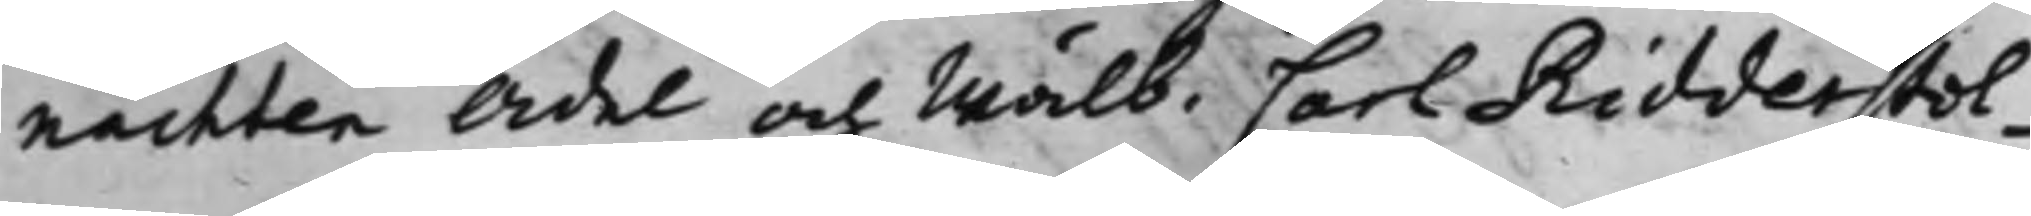nachten Ädel och Wälb. Carl Ridderstol¬
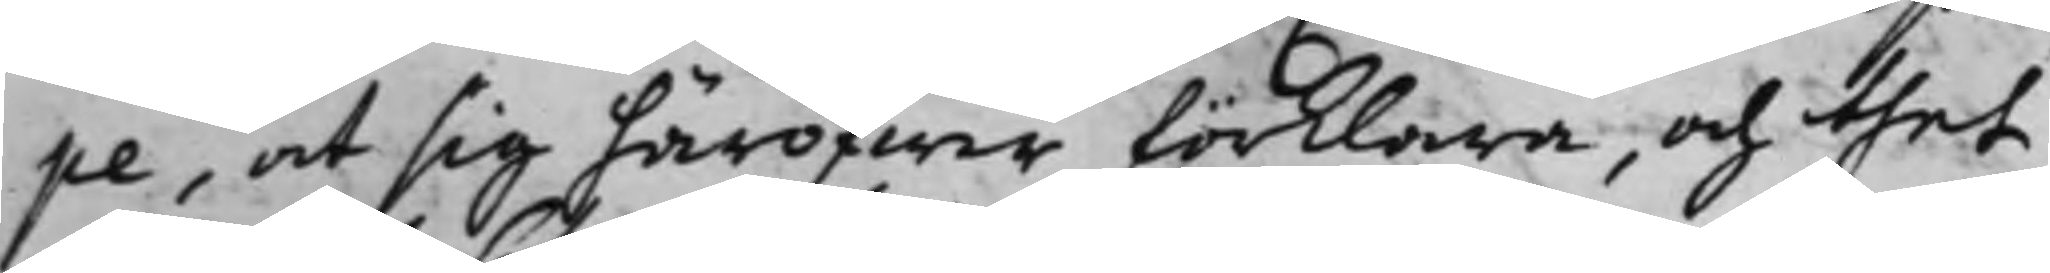pe, at sig häröfwer förklara, och thet
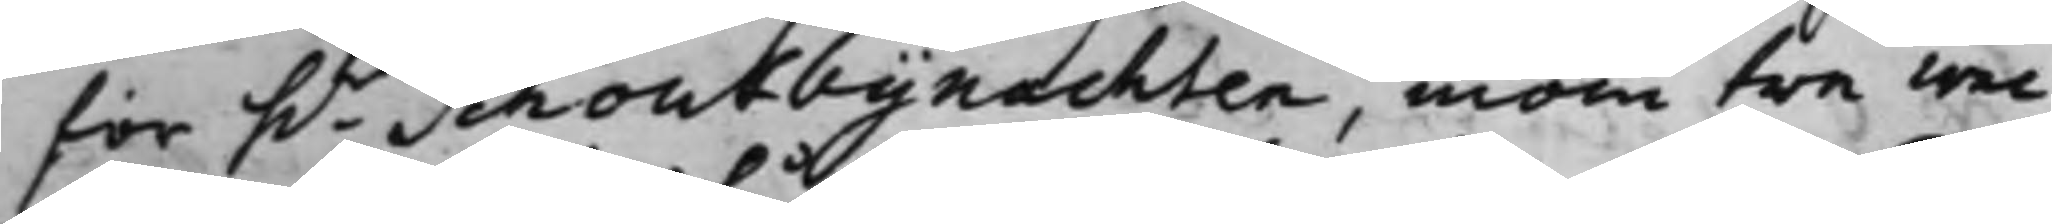för h.r Schoutbynachten, inom tre wec¬
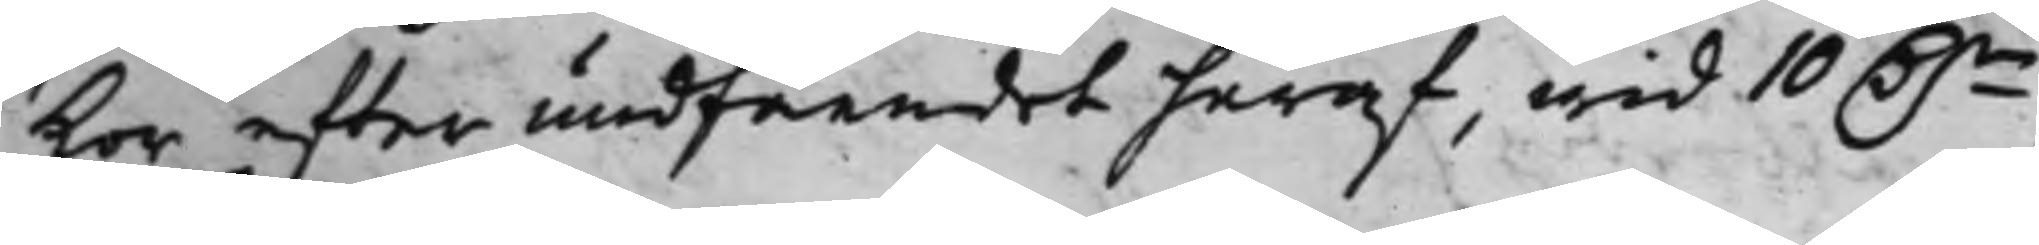kor efter undfåendet häraf, wid 10 D.r
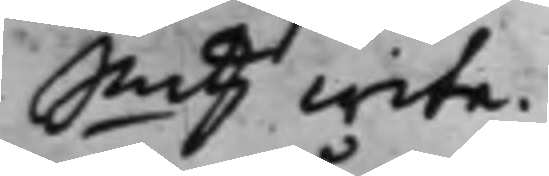Smtz wite.
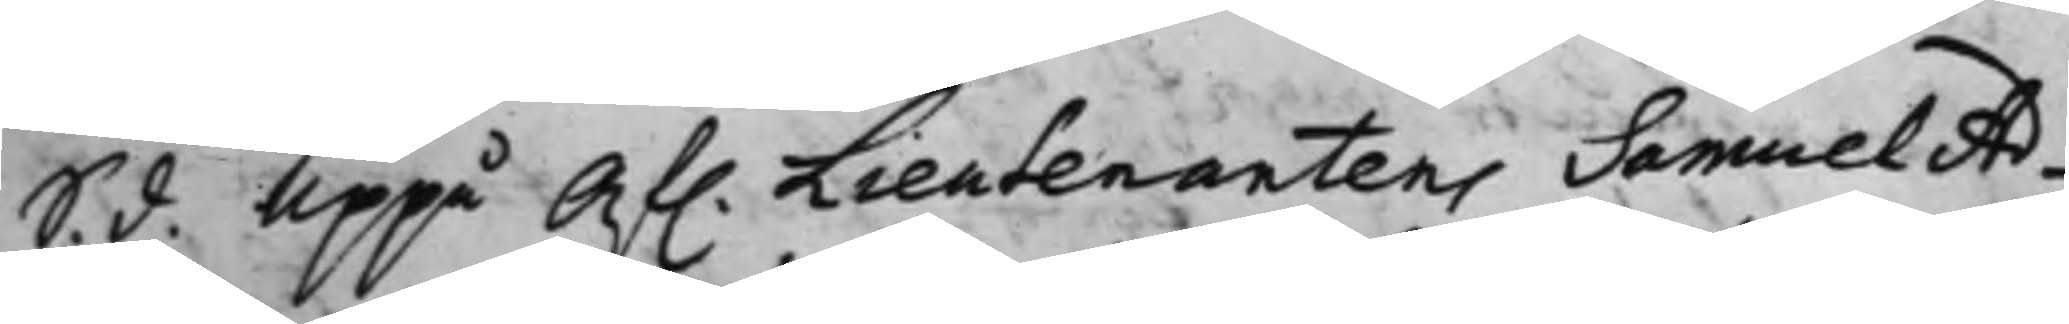S. d. Uppå Af. Lieutenantens Samuel Ad¬
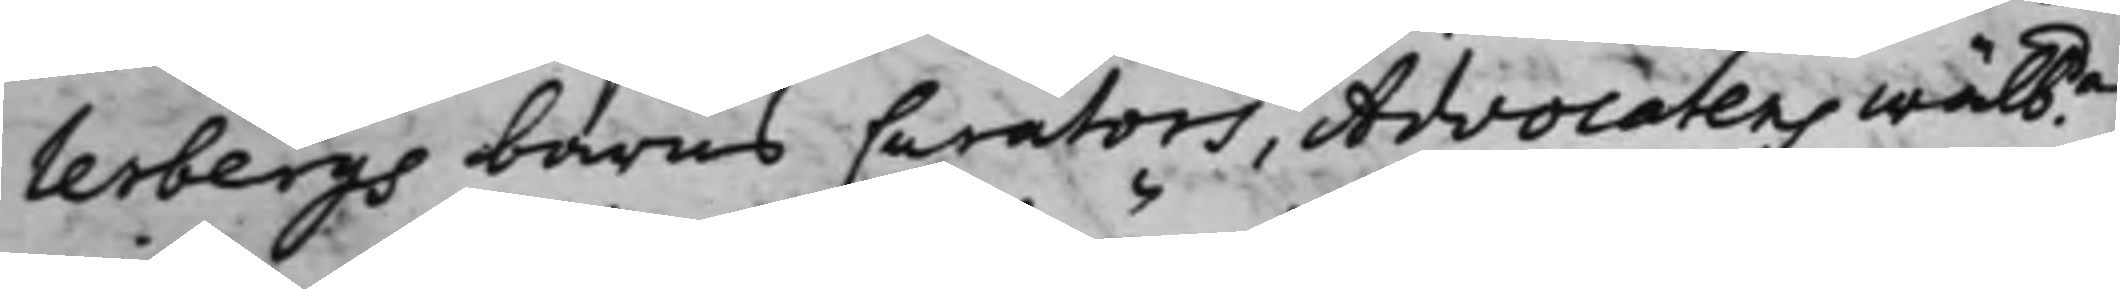lerbergs barns Curators, Advocatens Wälbda
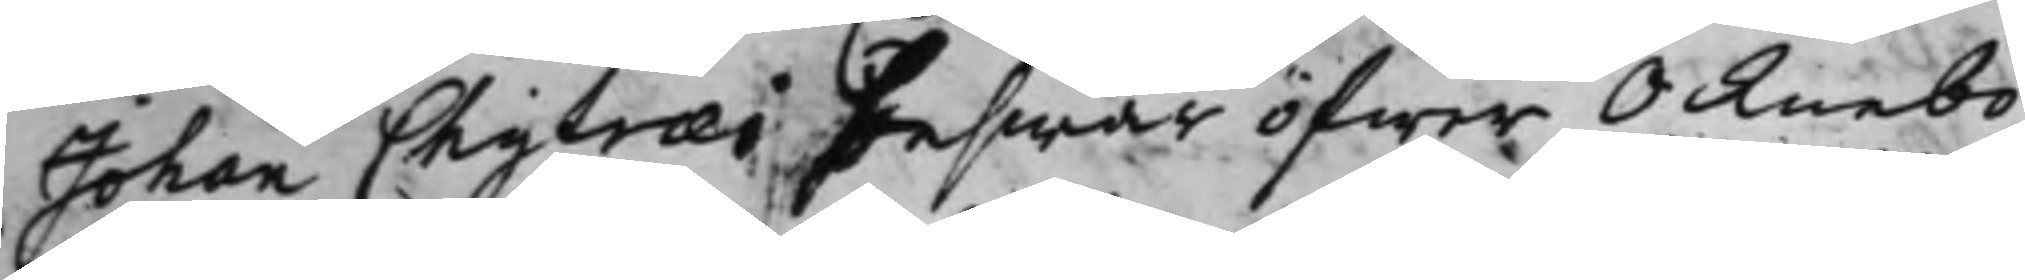Johan Chytræi beswär öfwer Öcknebo
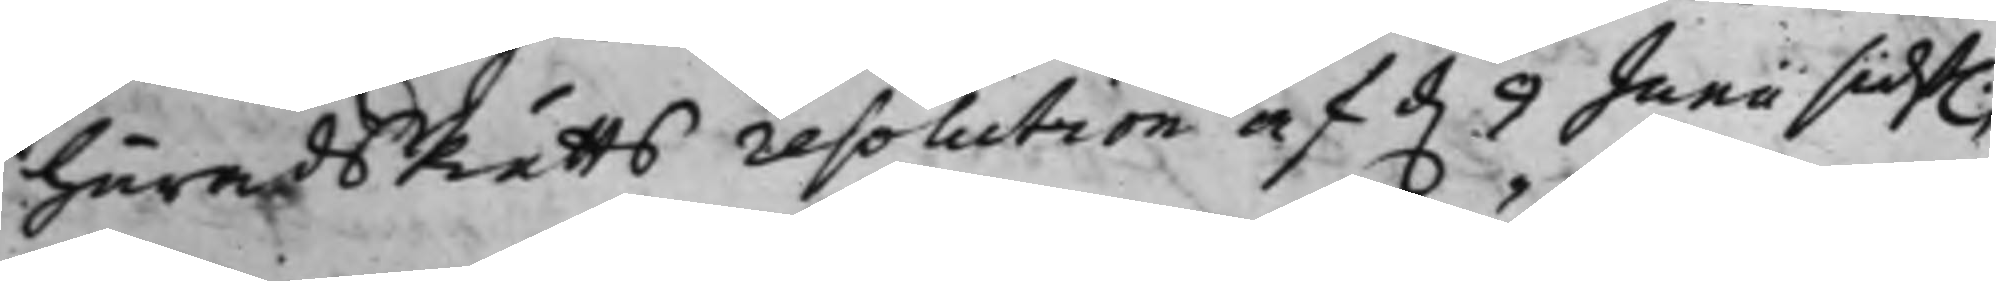HäradsRätts resolution af d. 9 Junii sidst.
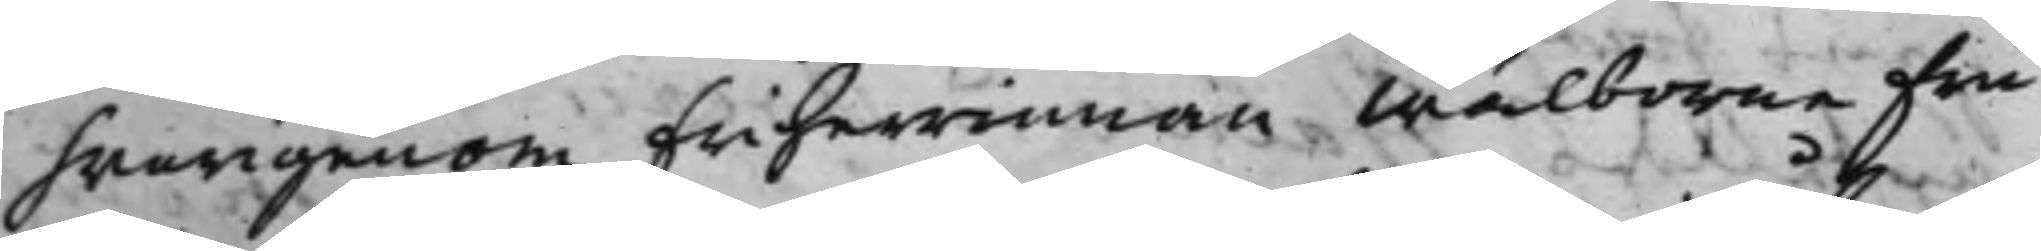hwarigenom Friherrinnan Wälborna Fru
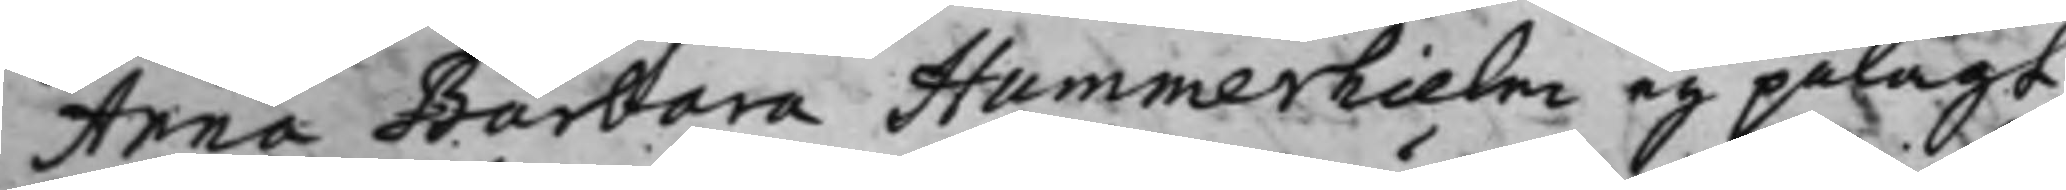Anna Barbara Hummerhielm eij pålagt
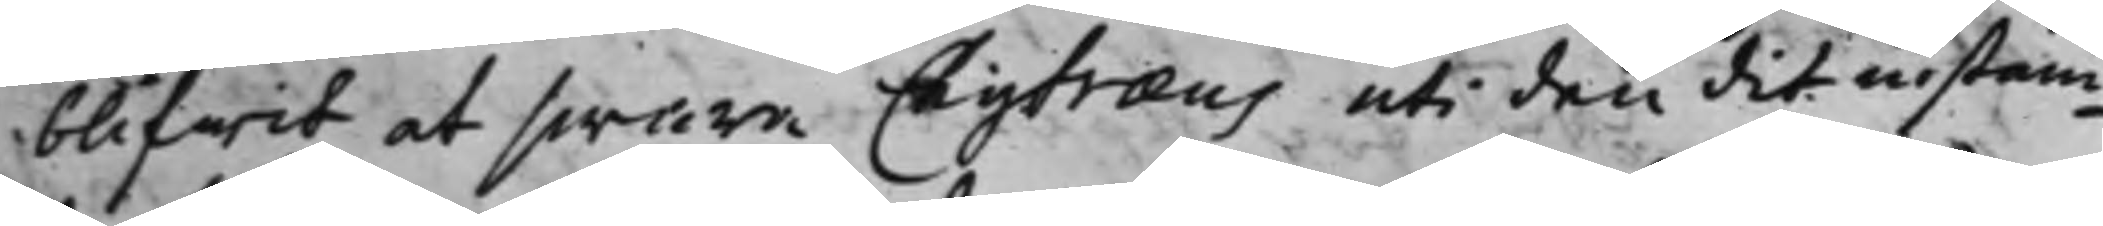blifwit at swara Chytræus uti den dit instäm¬
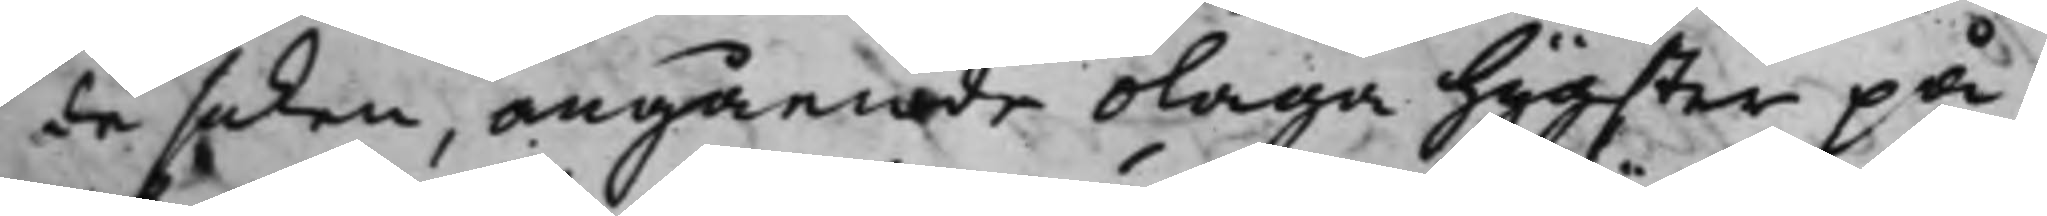de saken, angående olaga hygster på
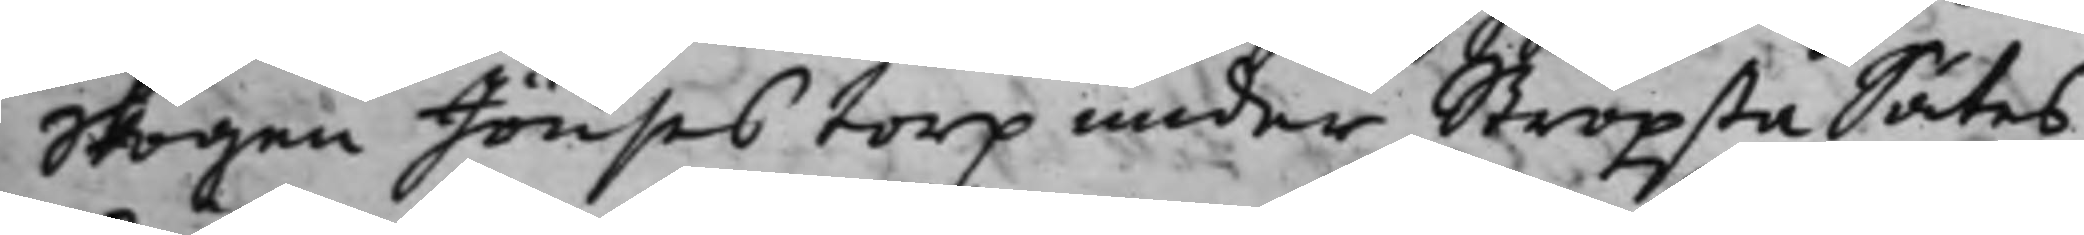Skogen Jönses torp under Ströpsta Sätes¬
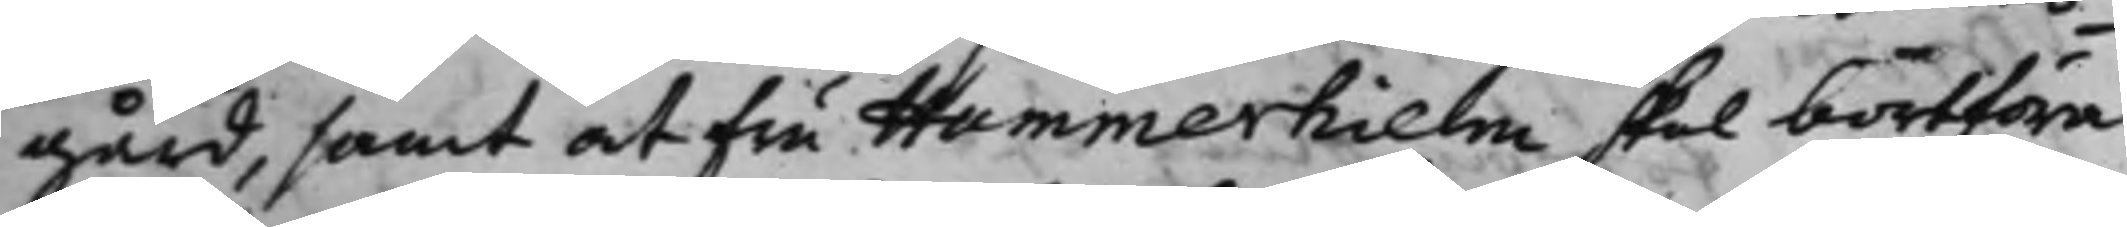gård, samt at Fru Hummerhielm skal bortföra
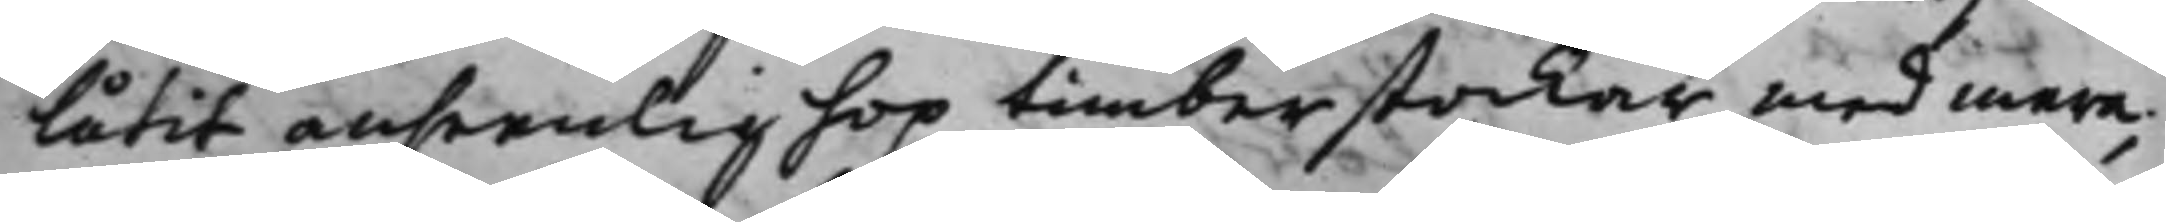låtit ansenlig hop timberstockar, med mera,
